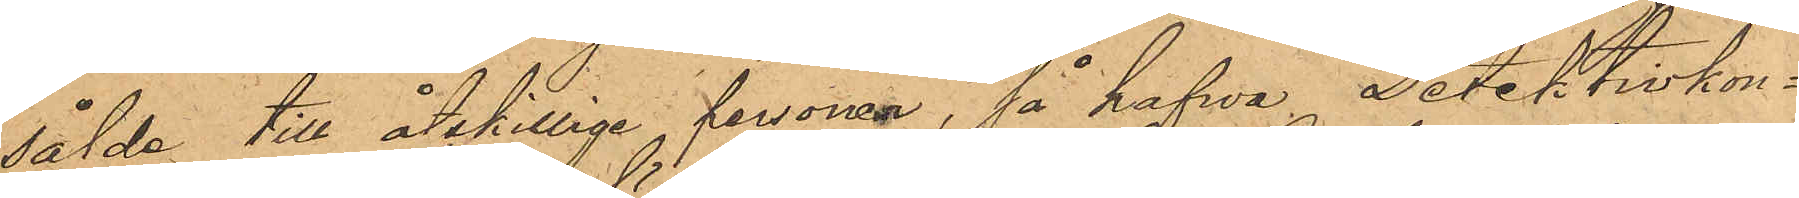sålde till åtskillige personer, så hafva Detektivkon¬
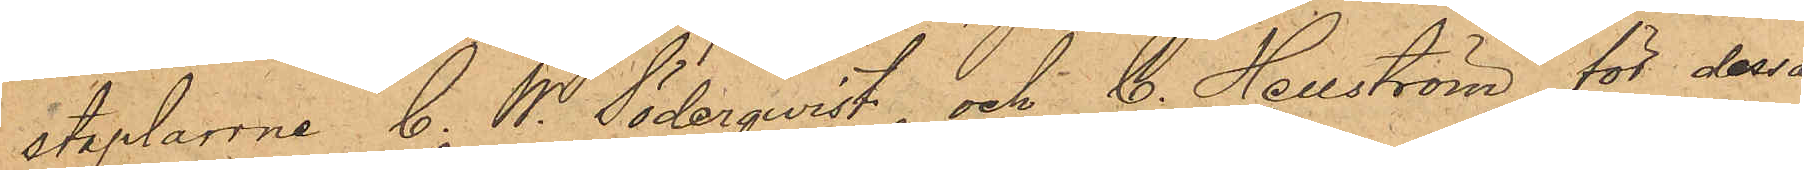staplarrne C. W. Söderqvist och C. Hellström för dessa
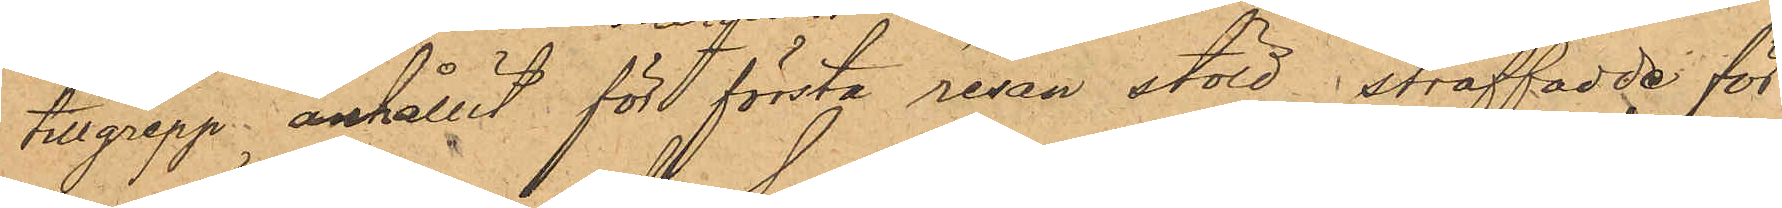tillgrepp anhållit för första resan stöld i straffadde för¬
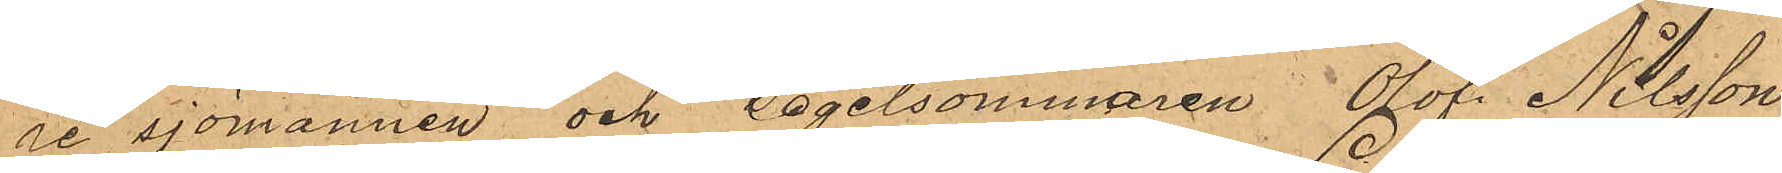re sjömannen och Segelsömmaren Olof Nilsson,
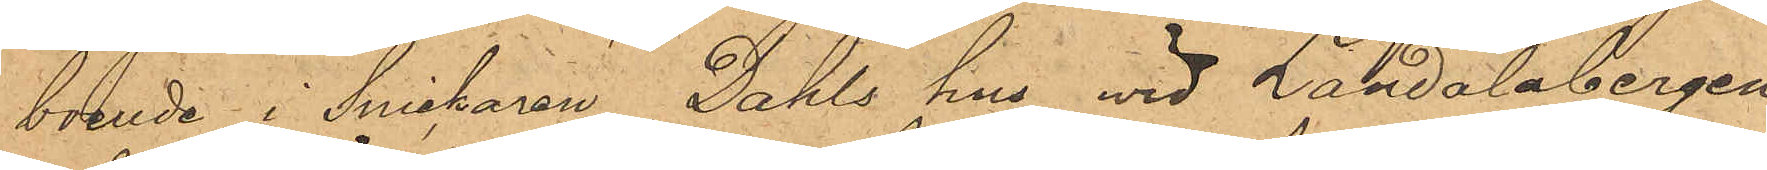boende i Snickaren Dahls hus wid Landalabergen
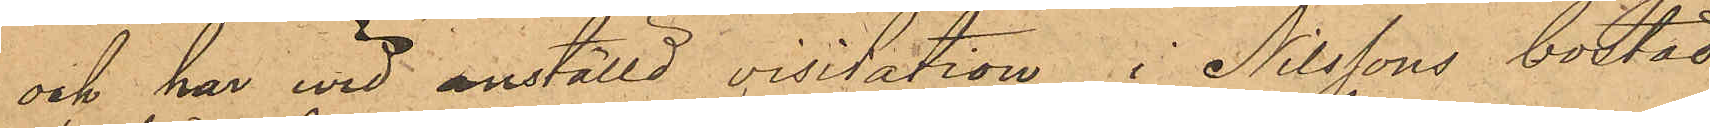och har wid anställd visitation i Nilssons bostad
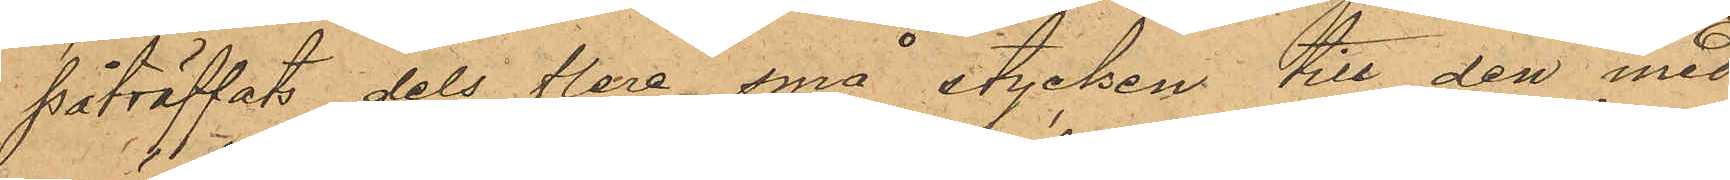påträffats dels flera små stycken till den med
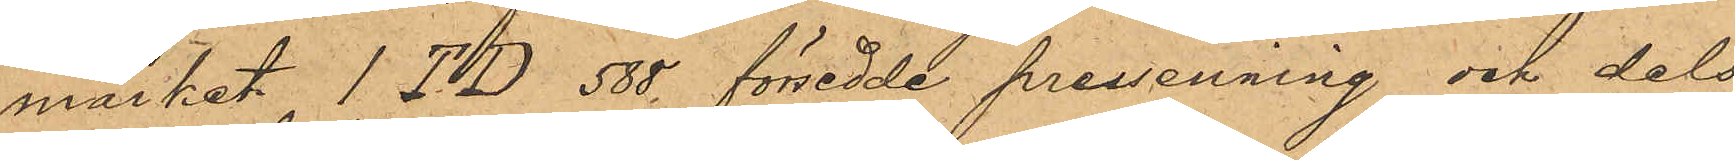märket 1TD 588 försedde pressenning och dels
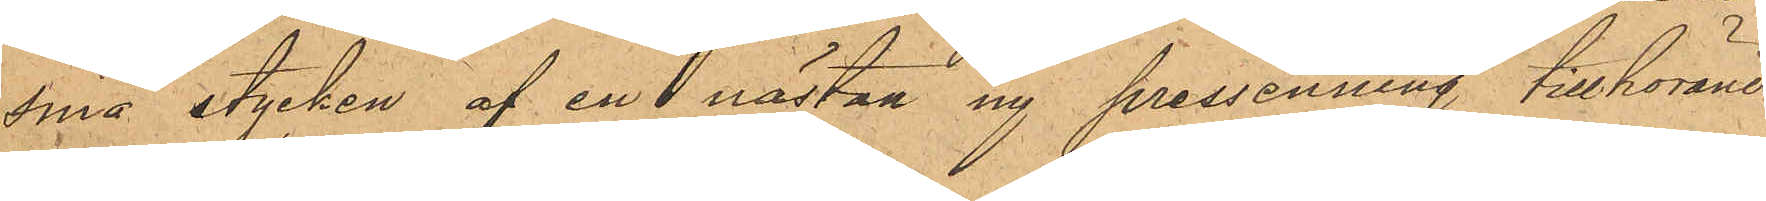små stycken af en nästan ny pressenning, tillhörande
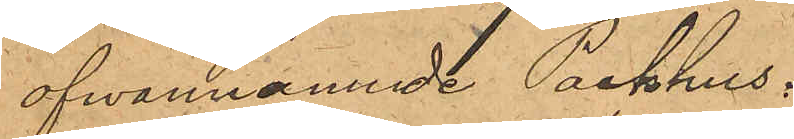ofwannamnde Packhus.
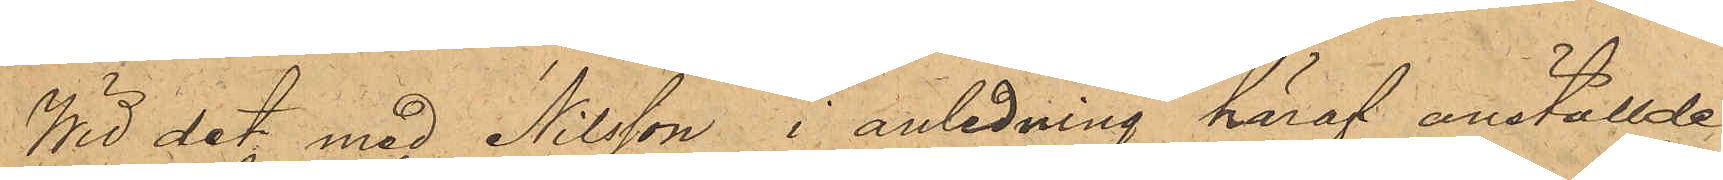Wid det med Nilsson i anledning häraf anställde
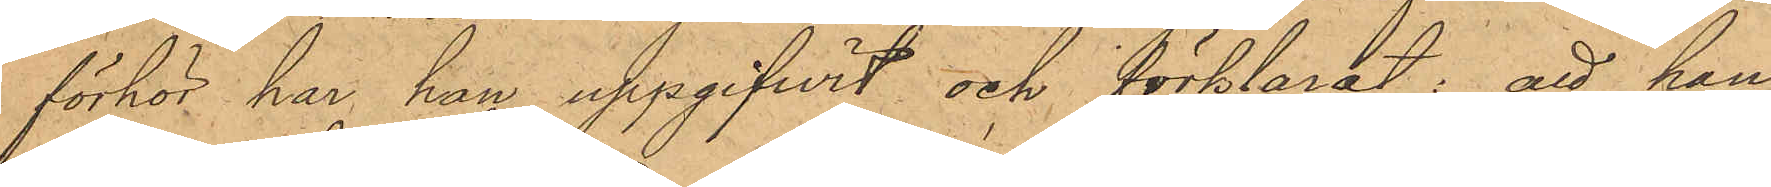förhör har han uppgifwit och förklarat: att han
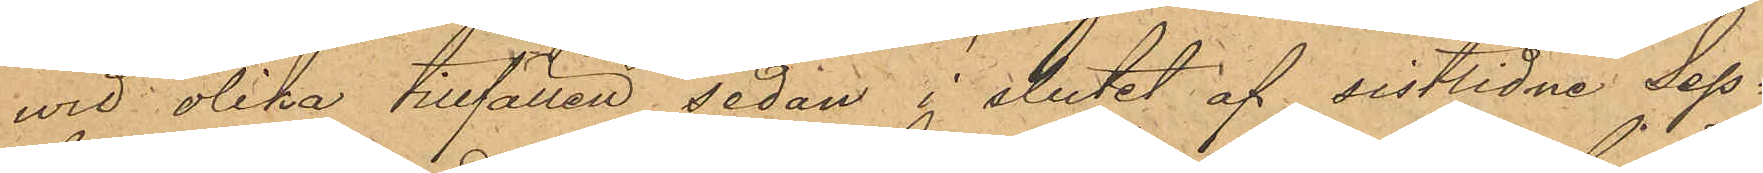wid olika tillfällen sedan i slutet af sistlidne Seps¬
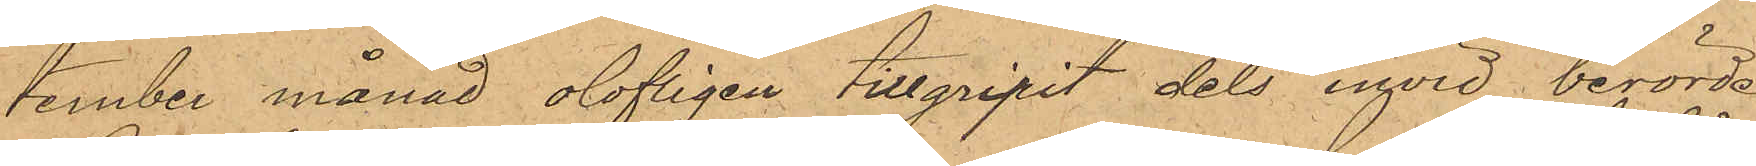tember månad olofligen tillgripit dels invid berörde
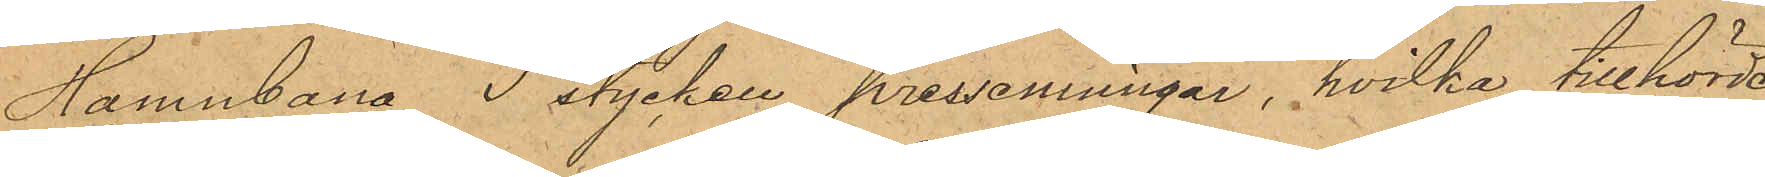Hamnbana 3 stycken pressenningar, hvilka tillhörde
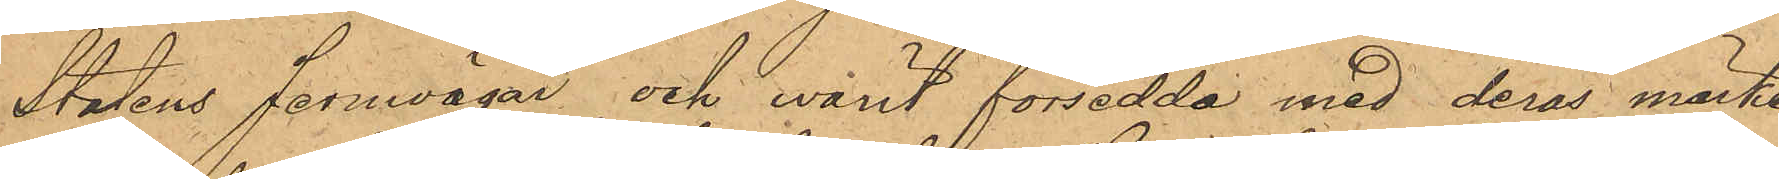Statens Jernvägar och varit försedda med deras märke
